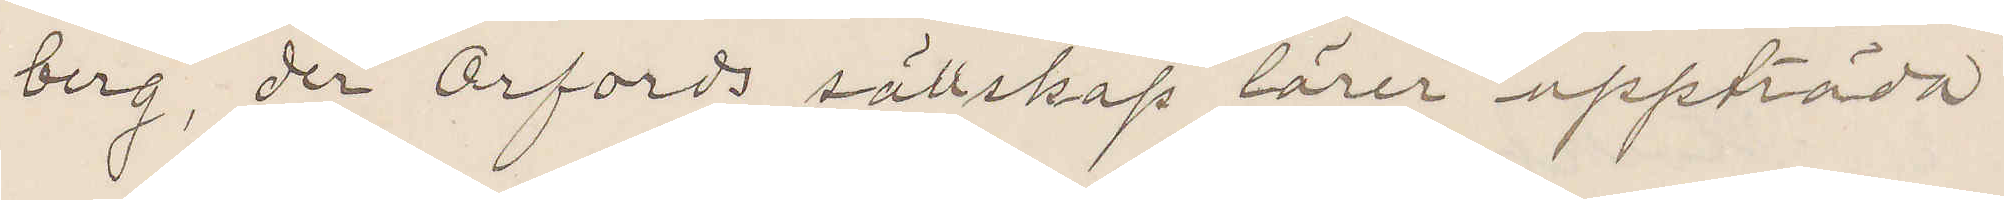berg, der Orfords sällskap lärer uppträda
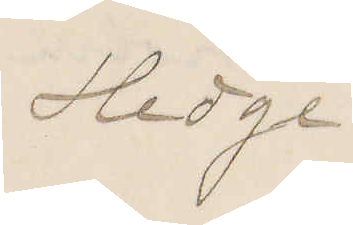Hedge
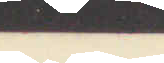1894
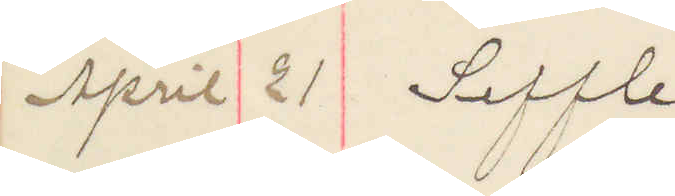April 21 Seffle
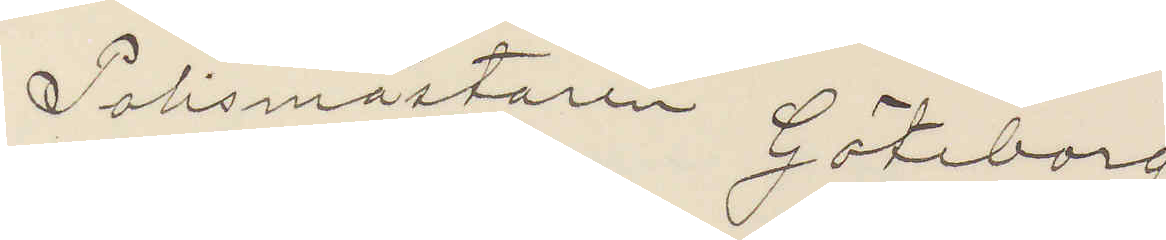Polismästaren Göteborg
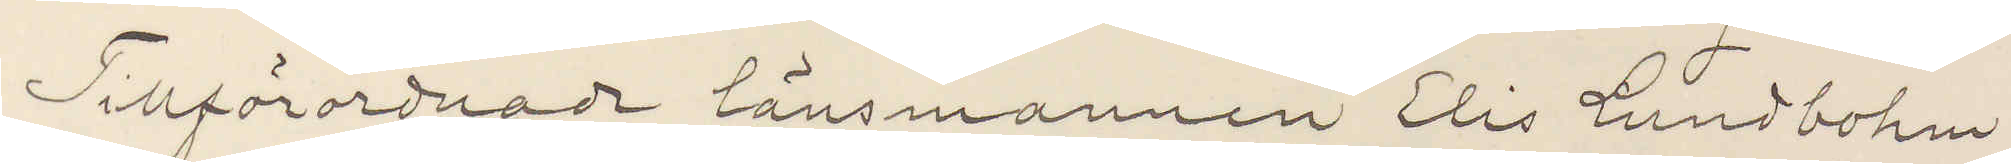Tillförordnade länsmannen Elis Lundbohm,
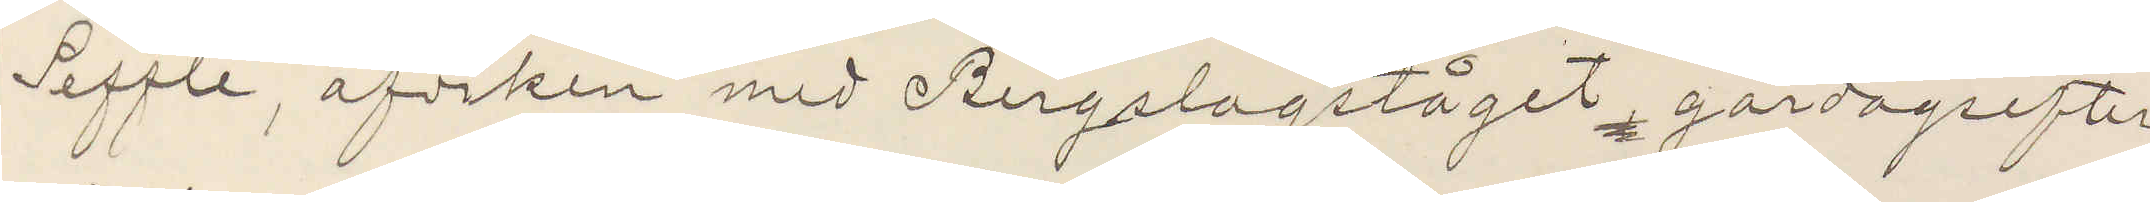Seffle, afviken med Bergslagståget gårdagsefter¬
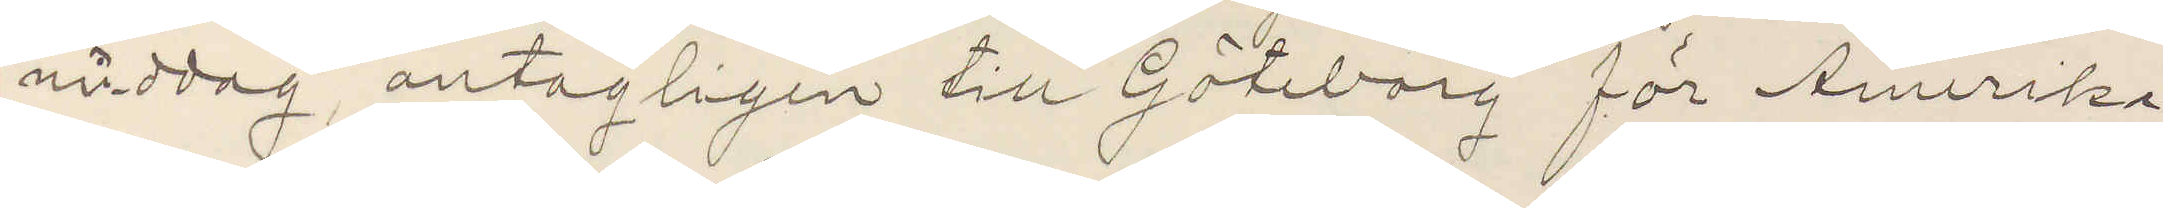middag antagligen till Göteborg för Amerika¬
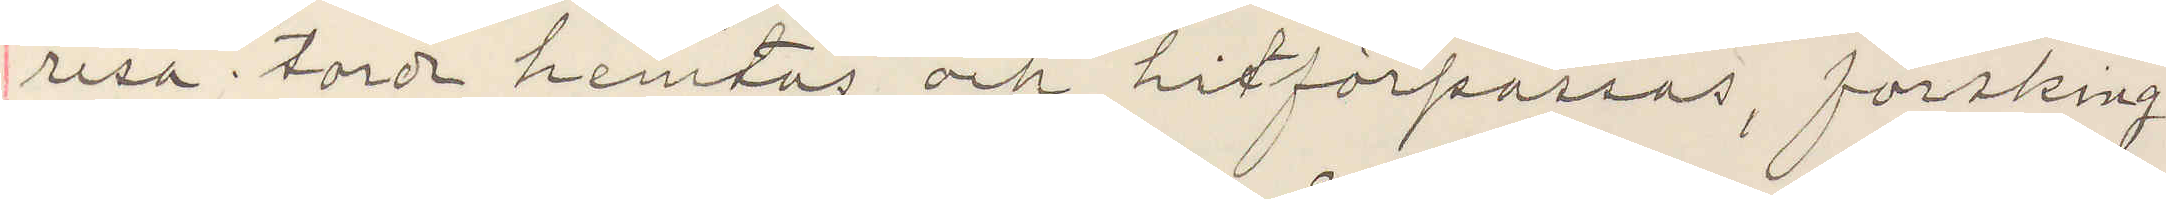resa torde hemtas och hitförpassas, försking¬
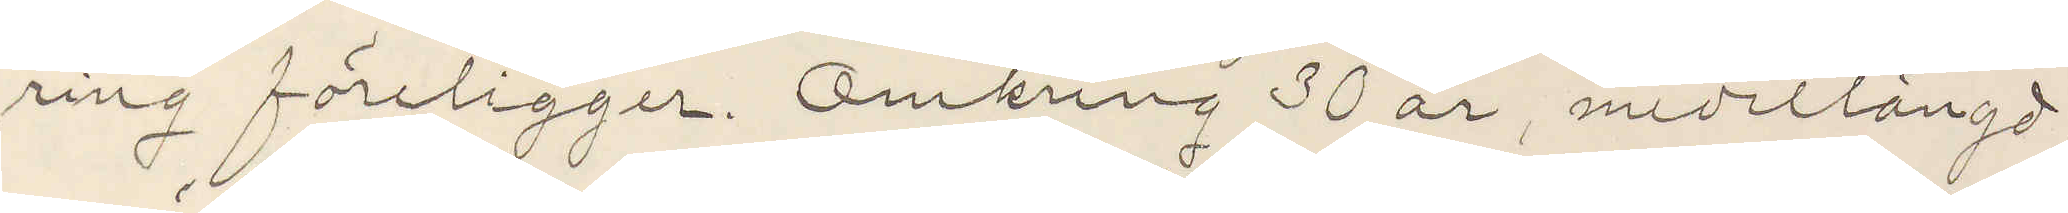ring föreligger. Omkring 30 år, medellängd,
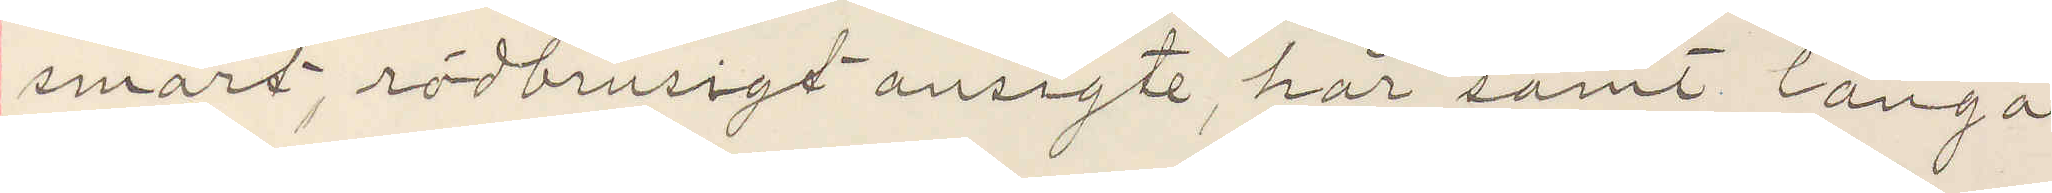smärt, rödbrusigt ansigte, hår samt långa
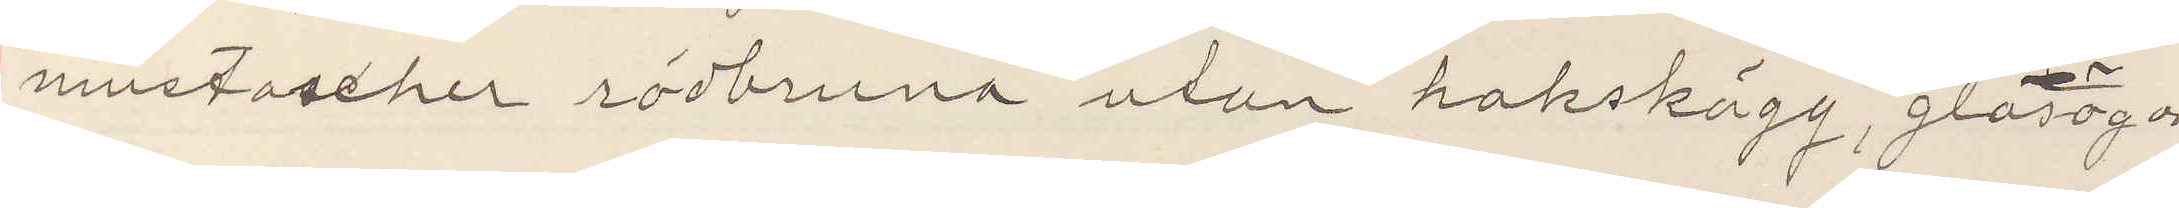mustascher rödbruna utan hakskägg, glasögon
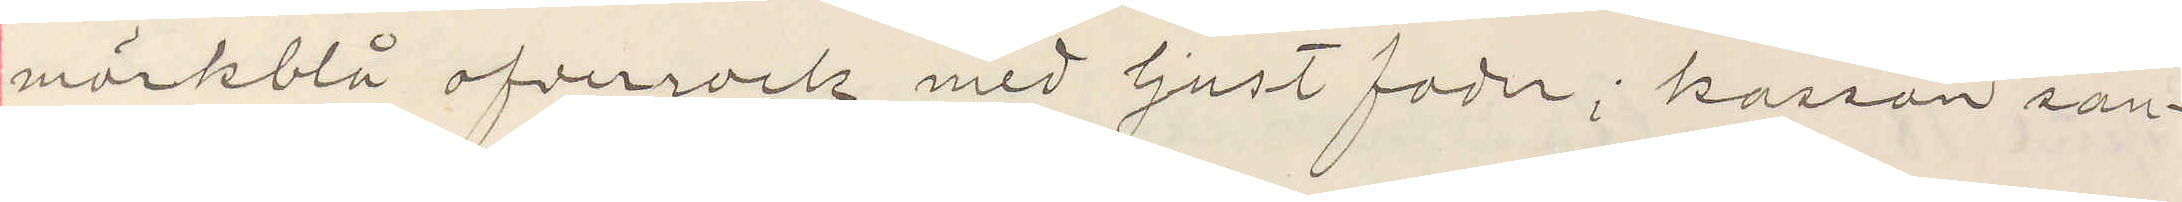mörkblå ofverrock med ljust foder; kassan san¬
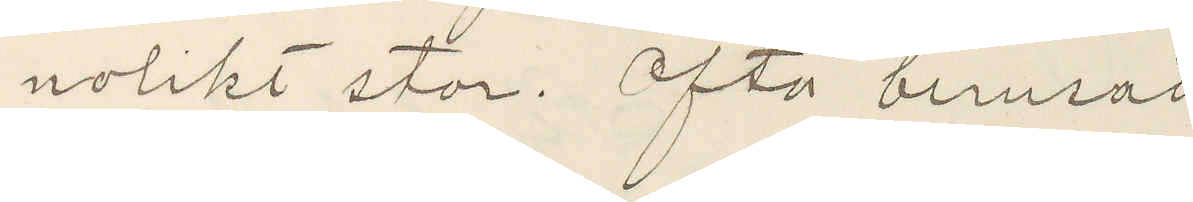nolikt stor. Ofta berusad
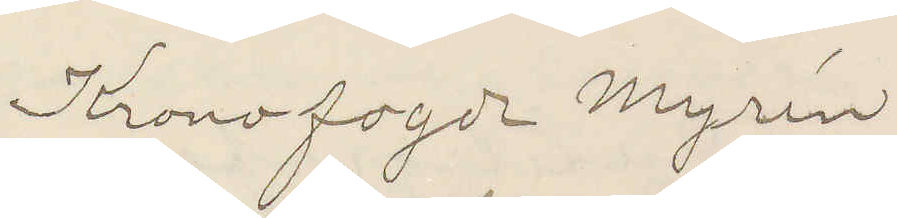Kronofogde Myrin
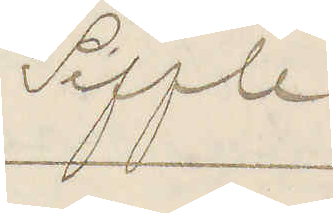Seffle.
